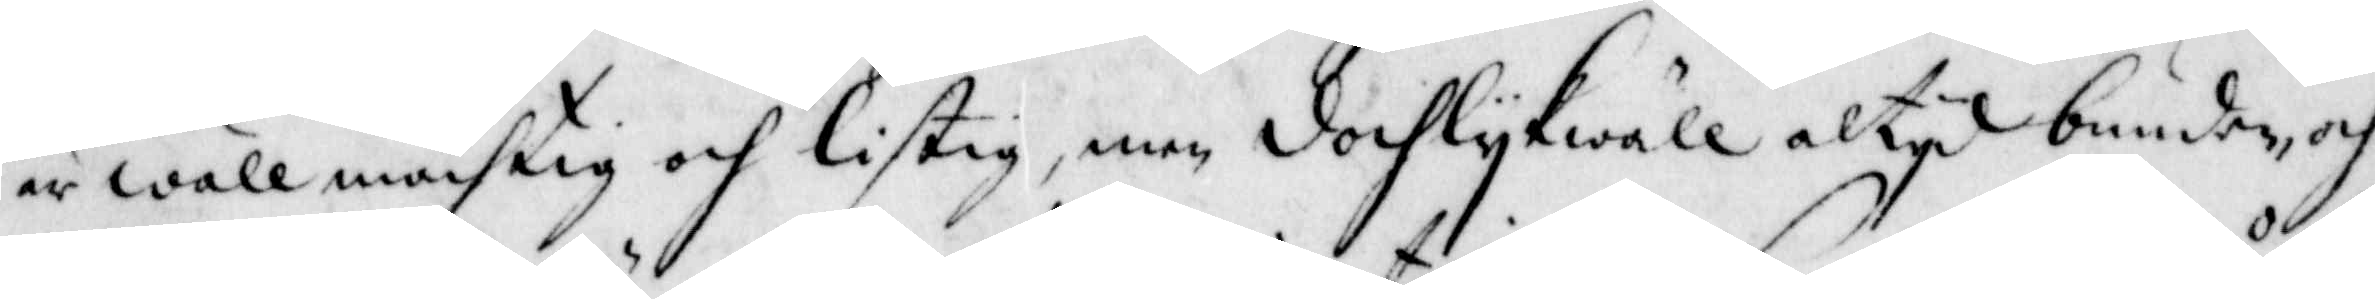är wäll mächtig och listig, men doch lykwäll altyd bunden, och
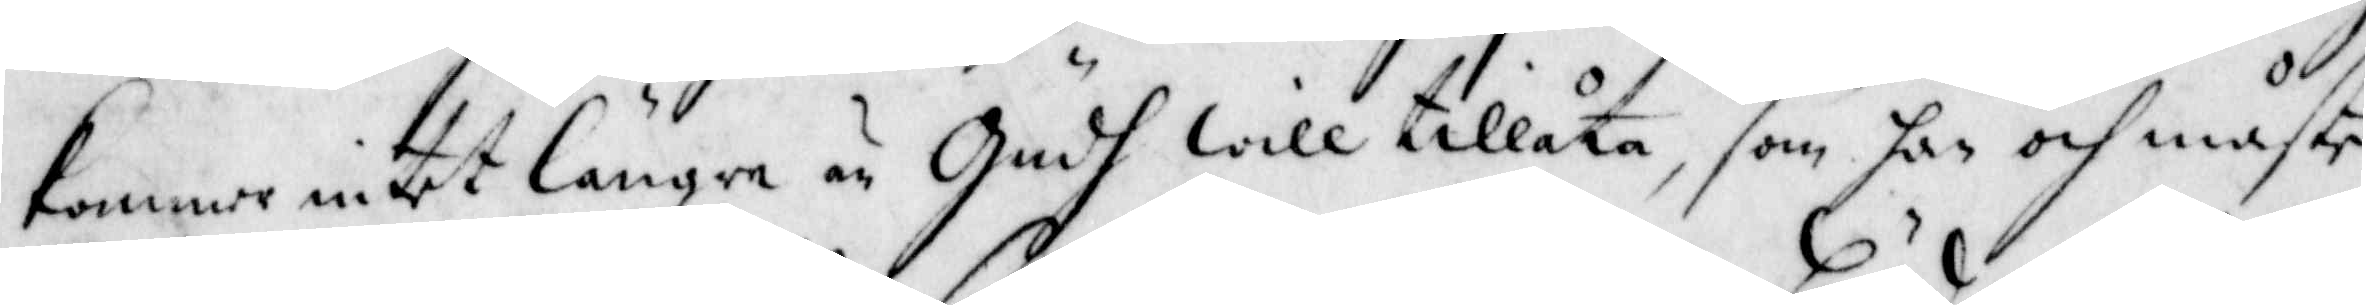kommer intet längre än Gudh will tillåta, som han och måste
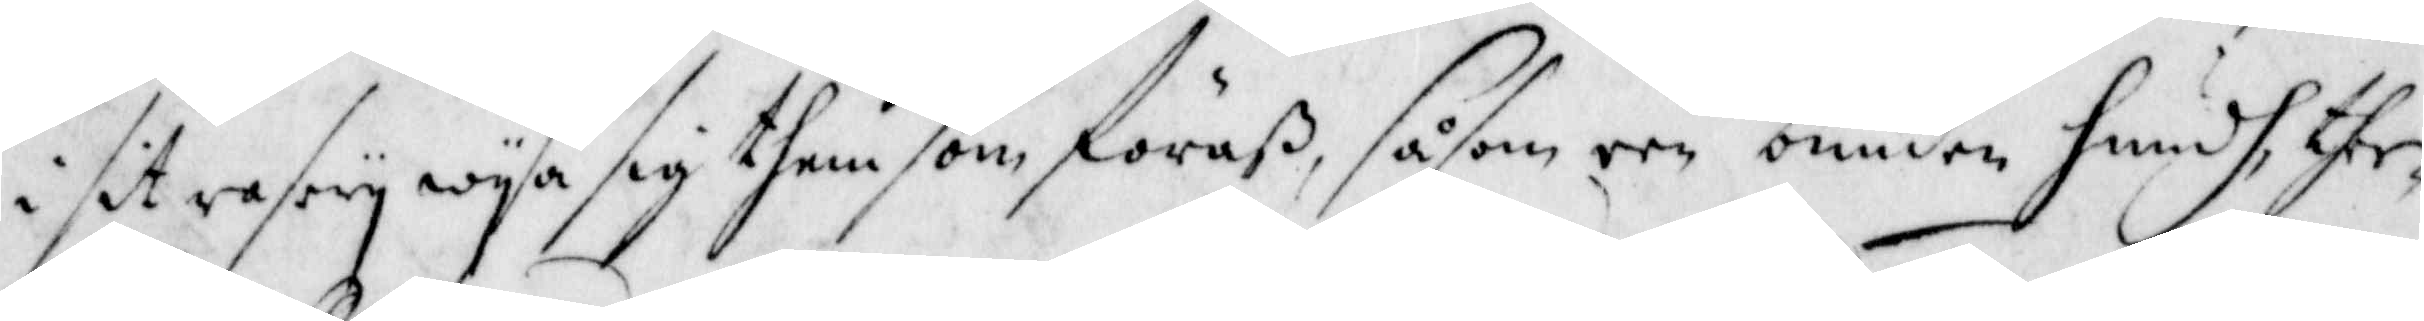i sit rasery wysa sig them som föraß, såsom een bunden hundh, ther
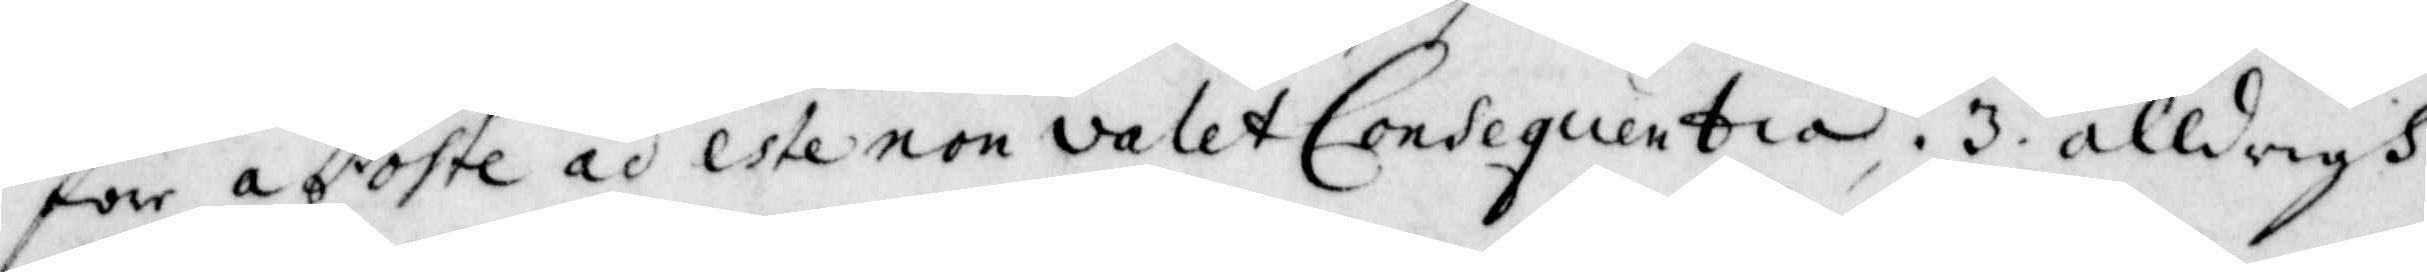för a Poste ad estenon valet Consequentia. 3. alldrigh
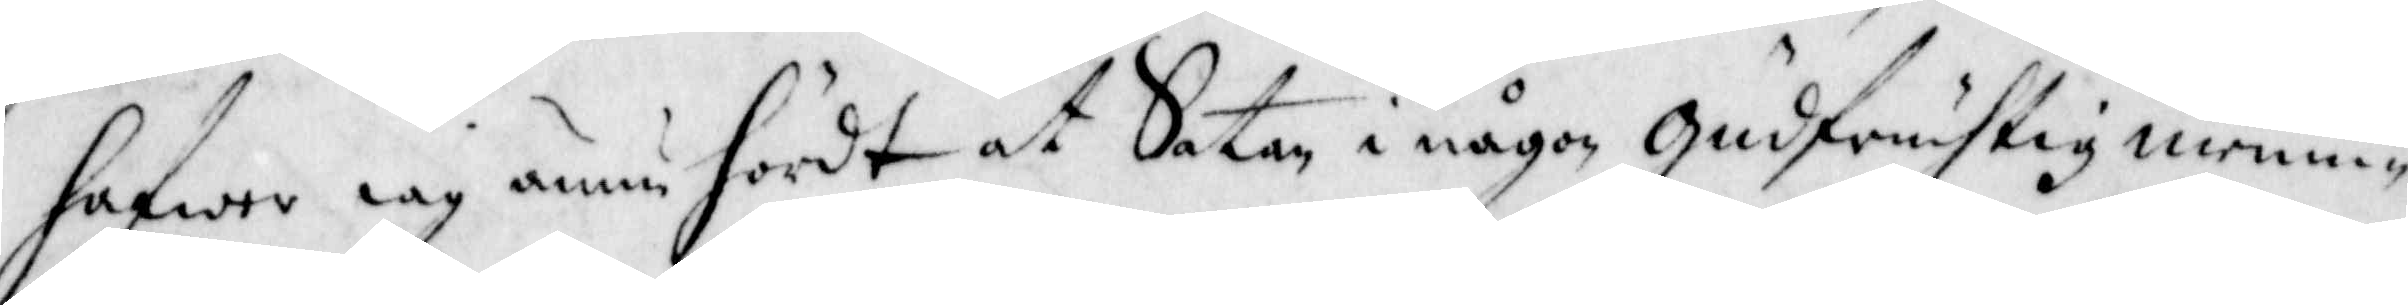hafwa iag ännu hördt at Satan i någon gudfruchtig menni¬
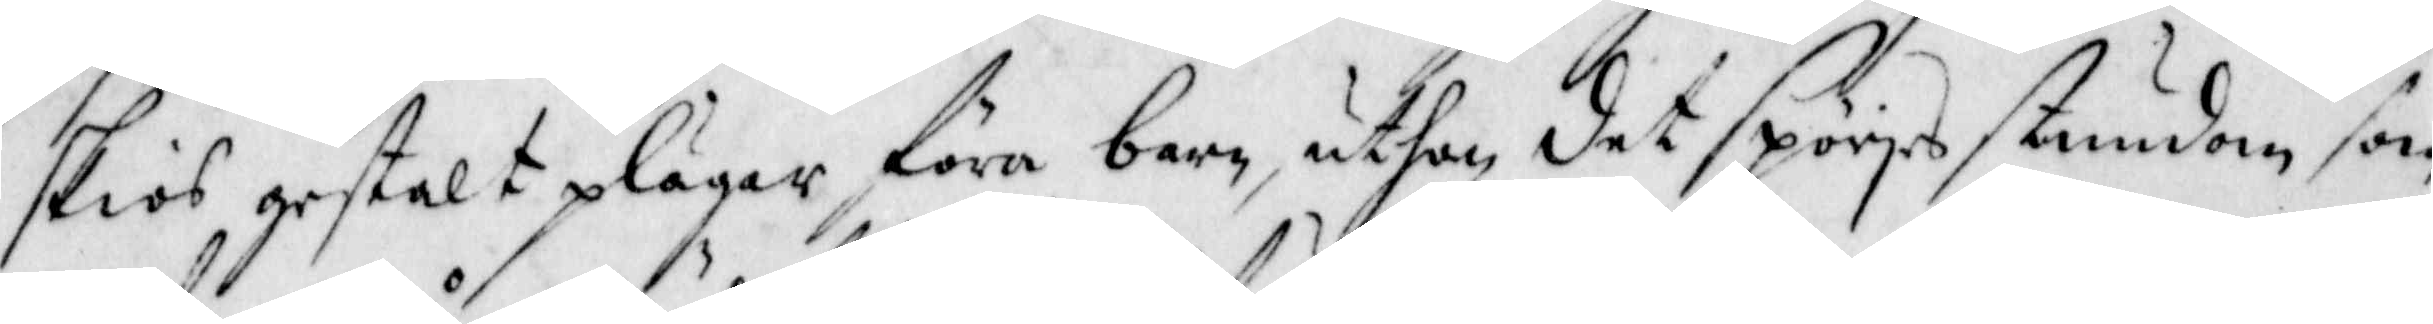skias gestalt plägar föra barn, uthan det spörjes stundom som
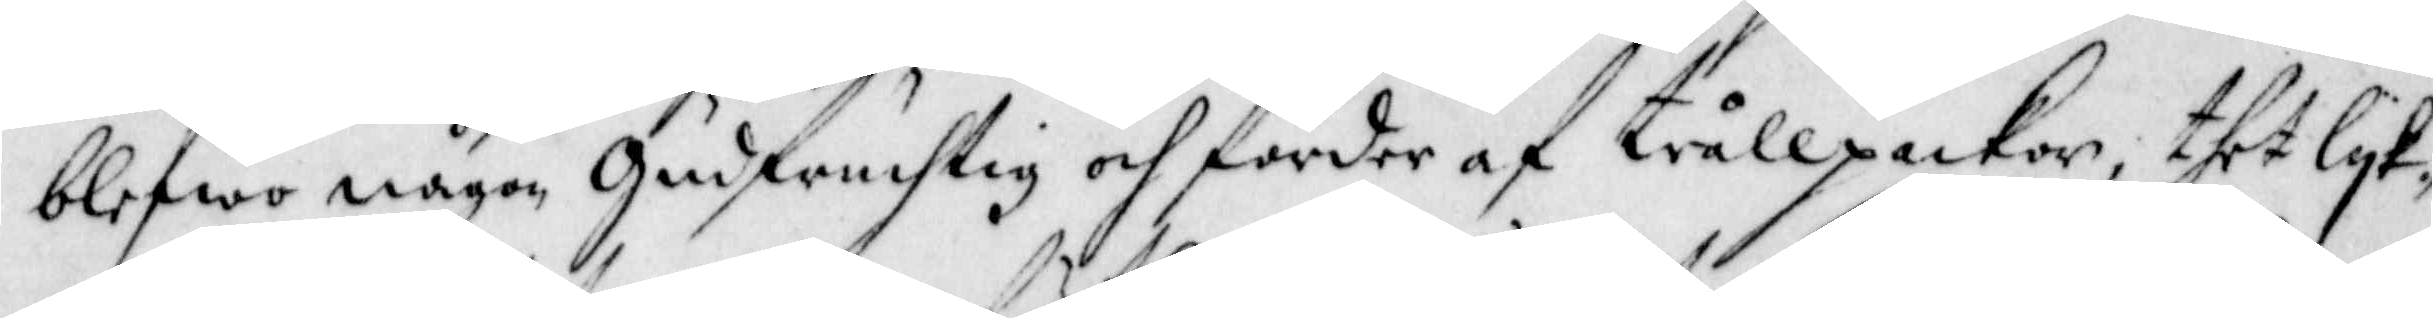blefwo någon gudfruchtig och förder af trållpackor, thet lyk¬
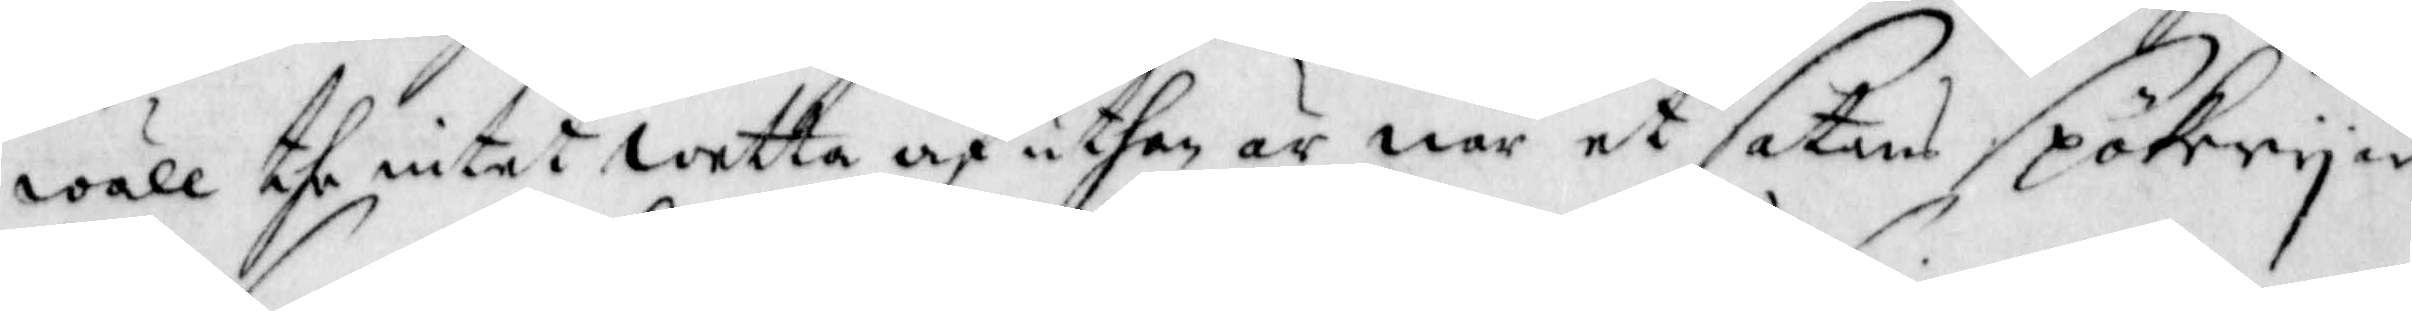wäll the intet wetta af uthan är när et Satans Spökery är
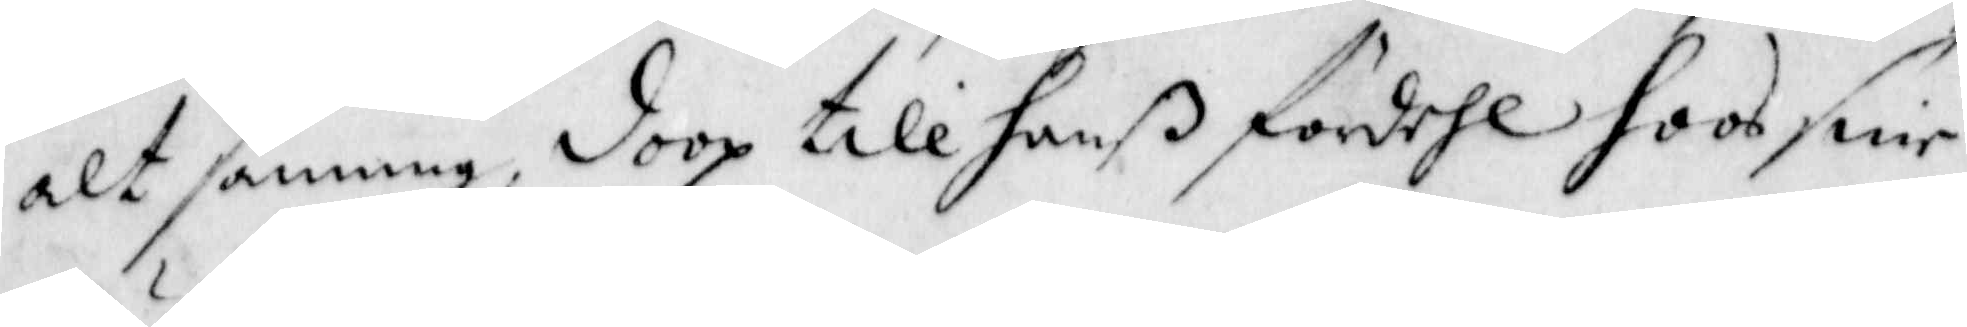alt sanning, doop till hanß fördehl hoos snie.
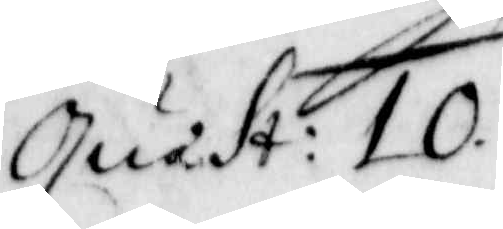Quast: 10.
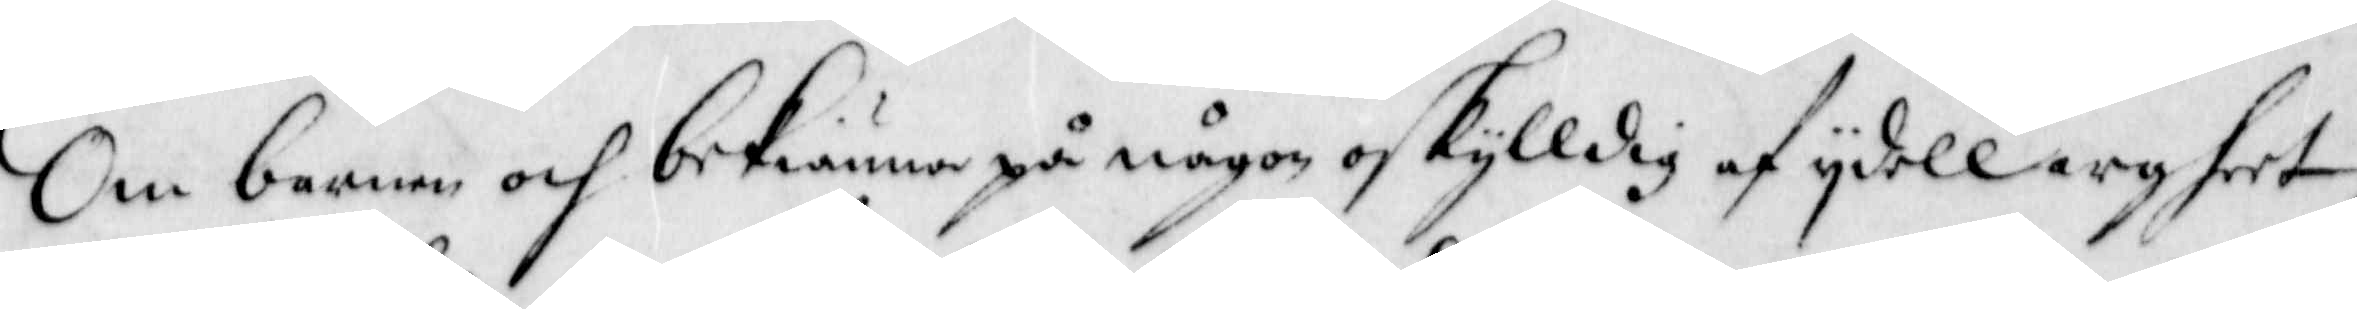Om barnen och bekiänner på någon oskylldig af ydell argheet,
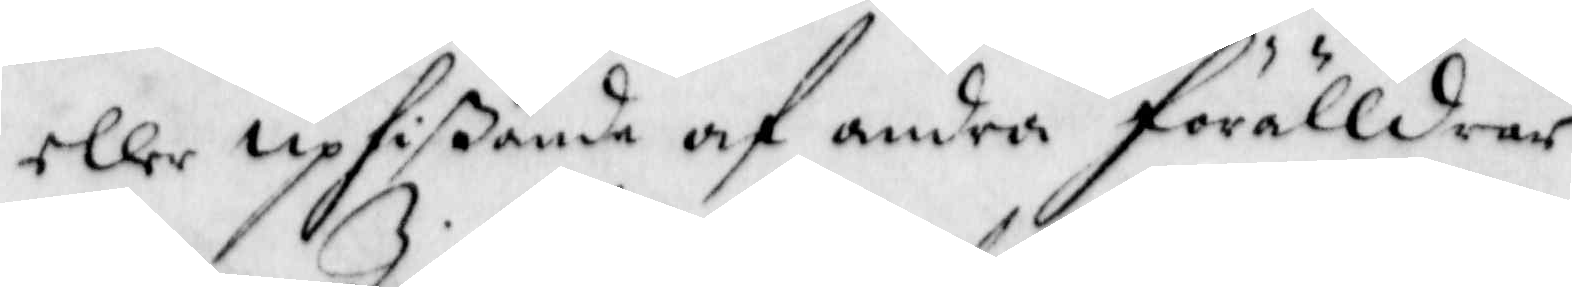eller uphißande af  andra förälldrar.
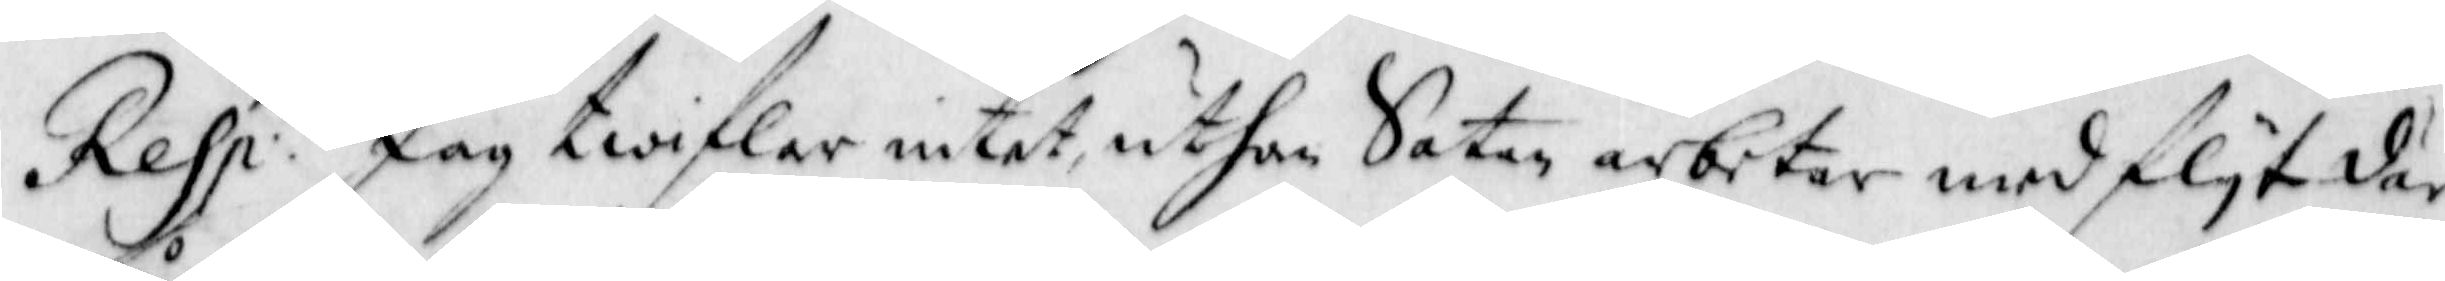Resp: Jag twifkar intet, uthan Satan arbetar med flyt där
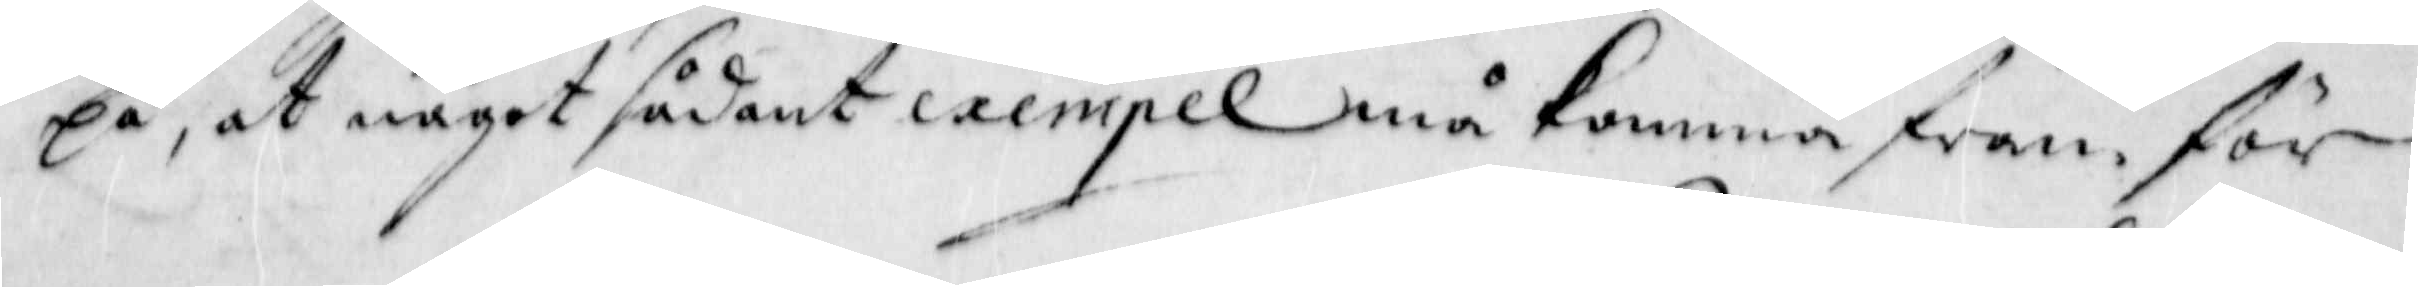på, at något sådant exempel må komma fram, för 
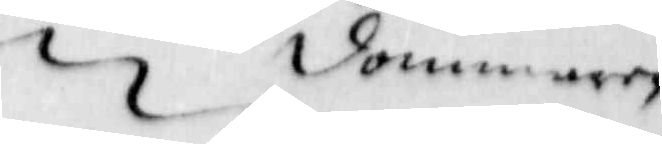dommaren
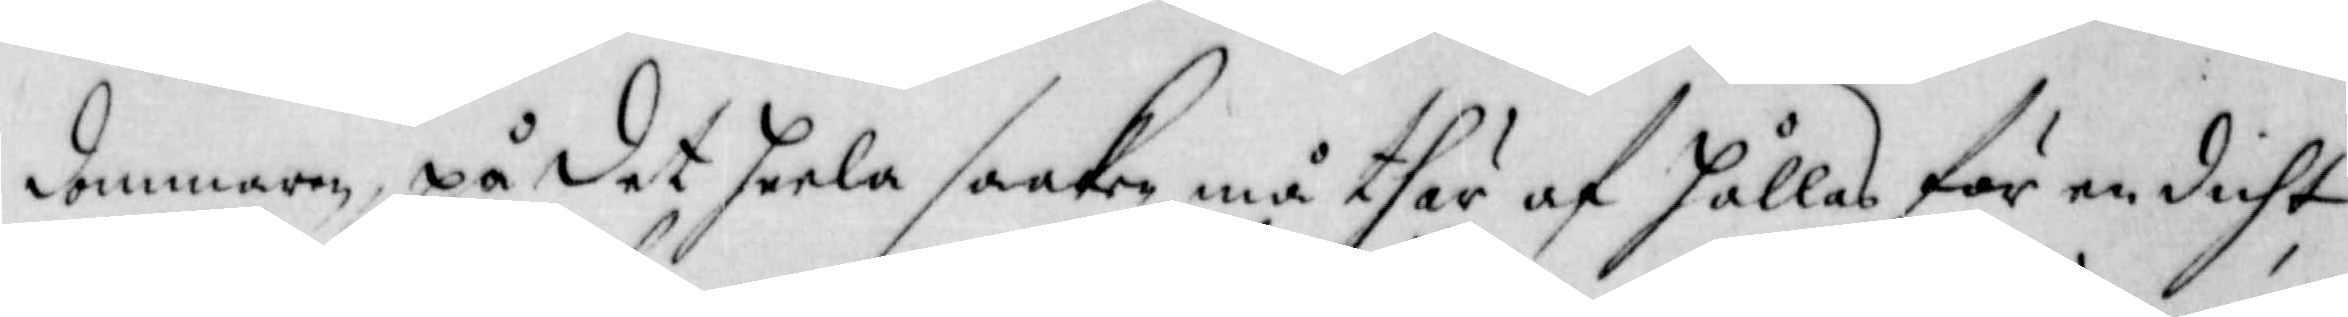dommaren, på det heela saaken må thär af hållas för en drift,
